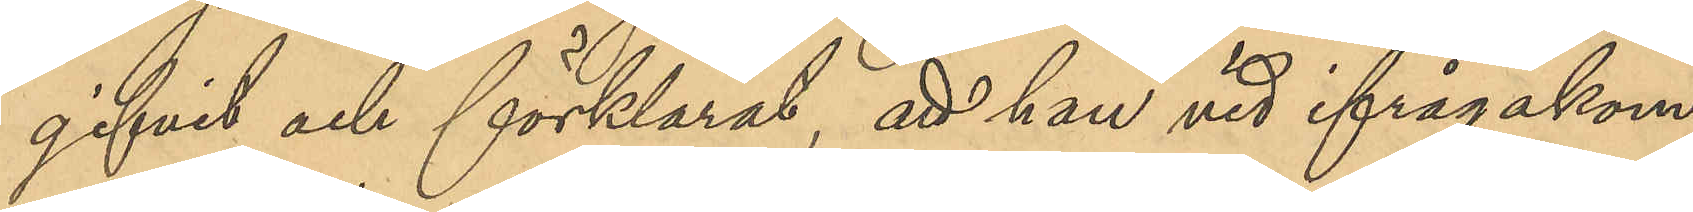gifvit och förklarat, att han vid ifrågakom¬
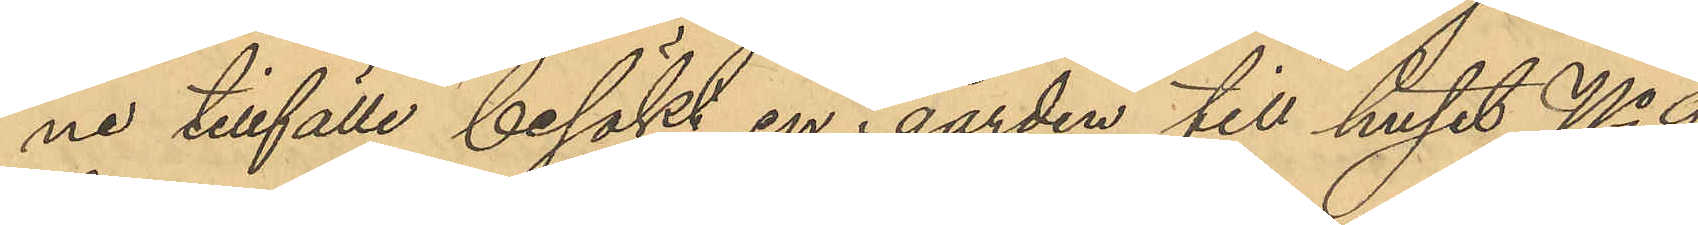ne tillfälle besökt en i gården till huset No 9
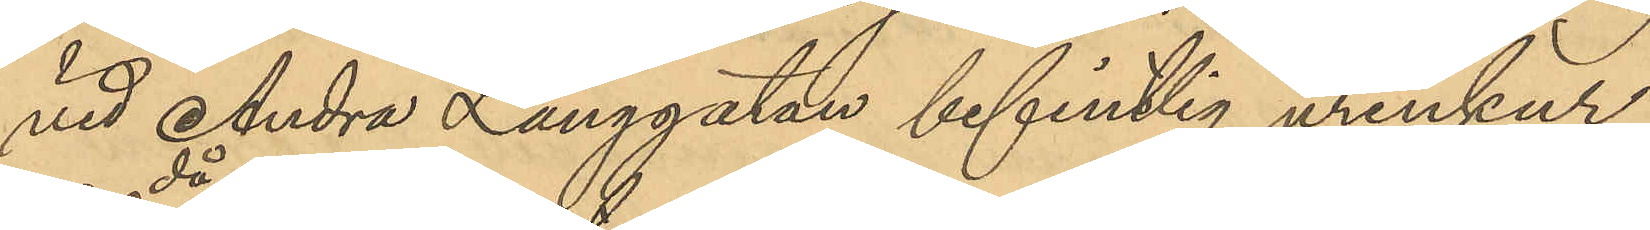vid Andra Långgatan befintlig urinkur;
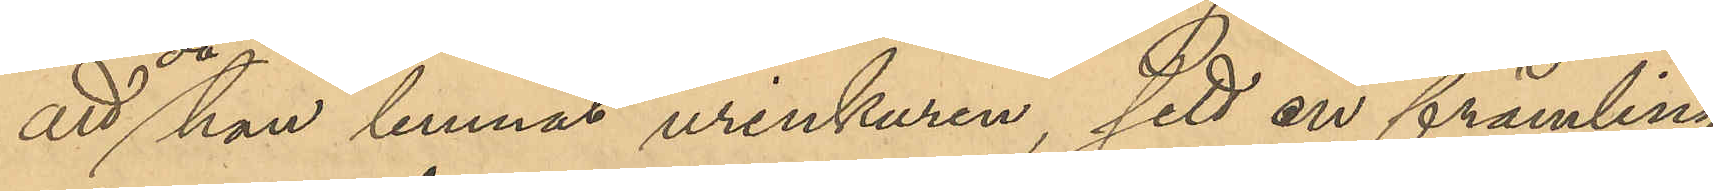att då han lemnat urinkuren, sett en främling,
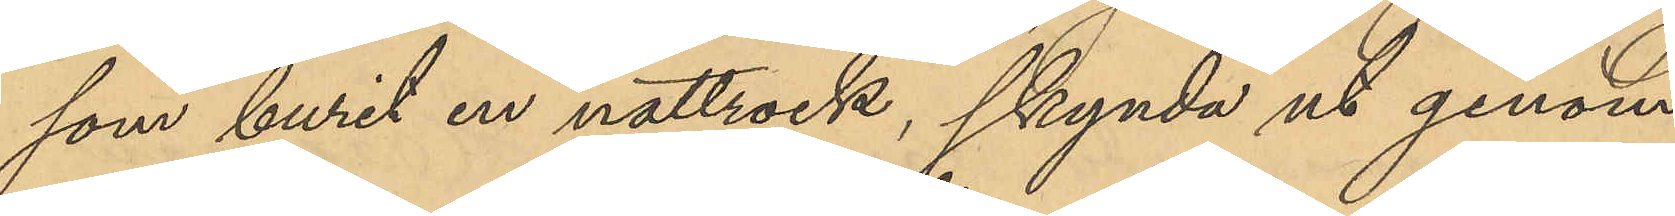som burit en nattrock, skynda ut genom
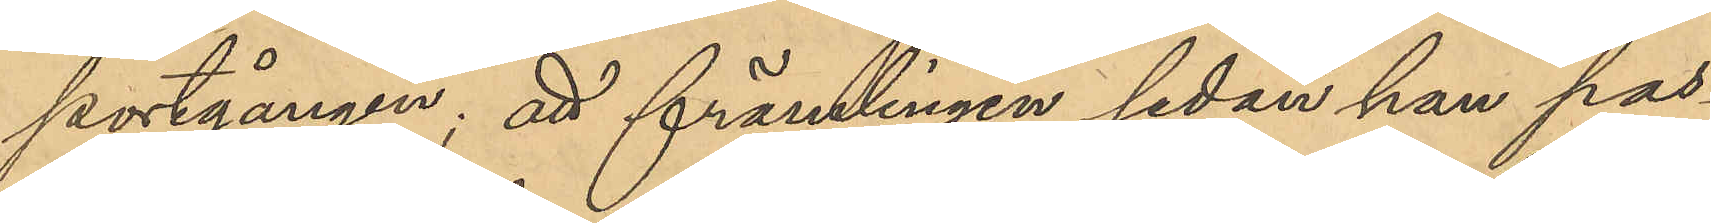portgången; att främlingen sedan han pas¬
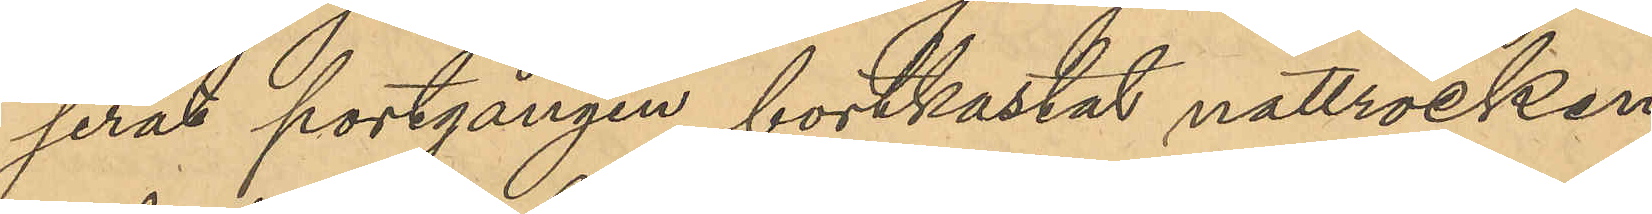serat portgången, bortkastat nattrocken
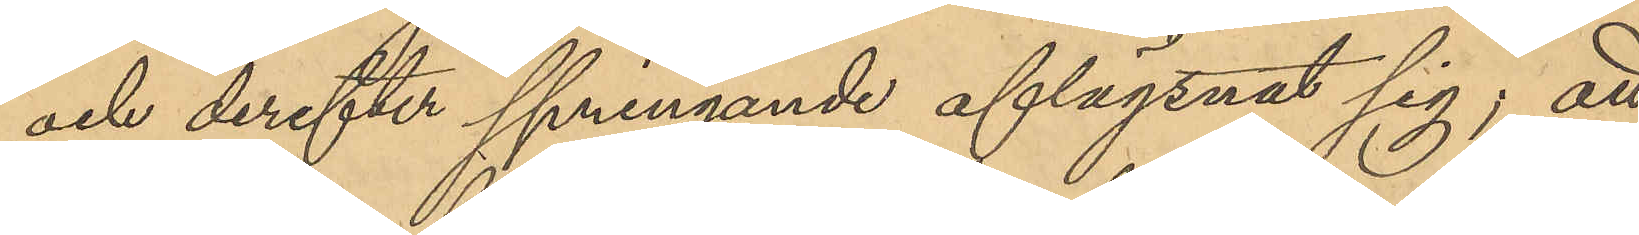och derefter springande aflägsnat sig; att
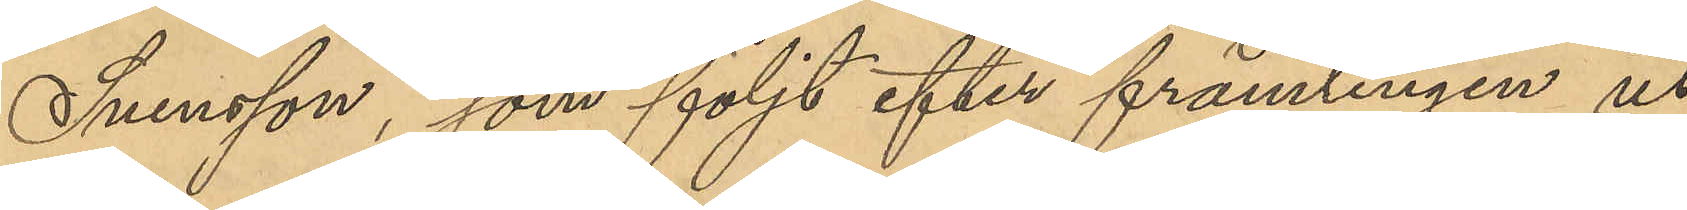Svensson, som följt efter främlingen ut
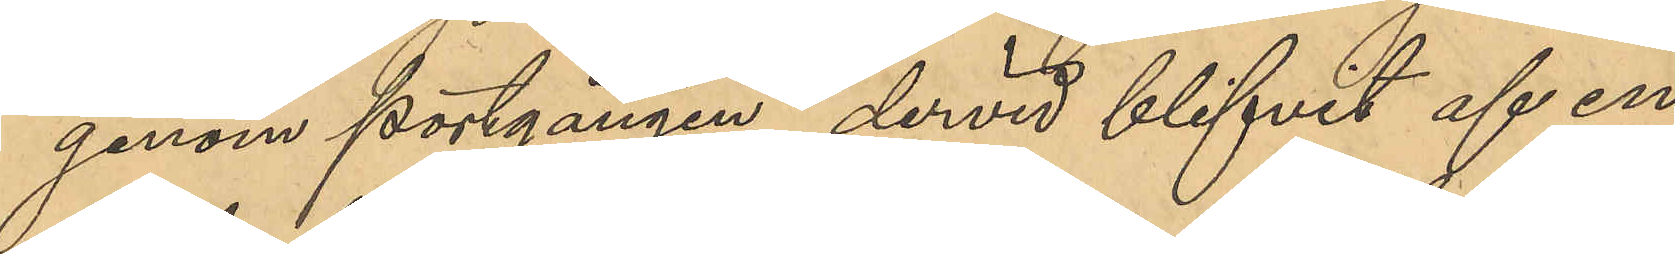genom portgången, dervid blifvit af en
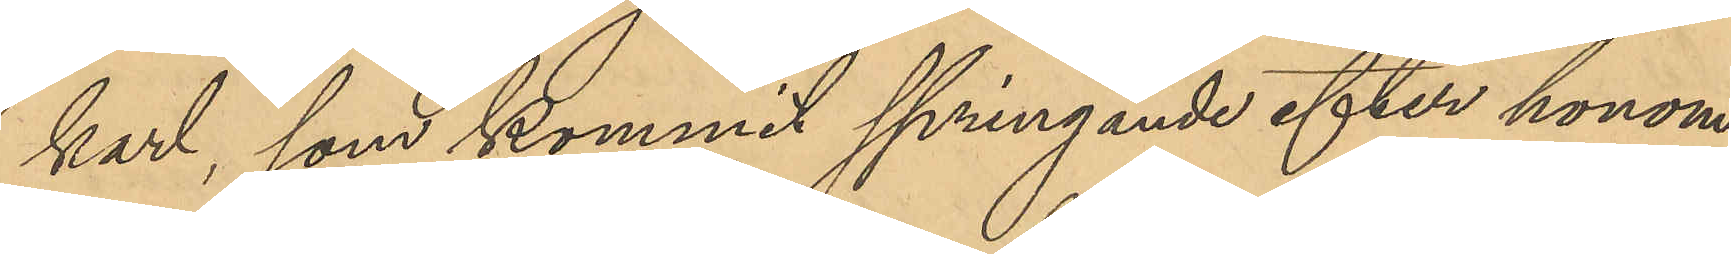karl, som kommit springande efter honom
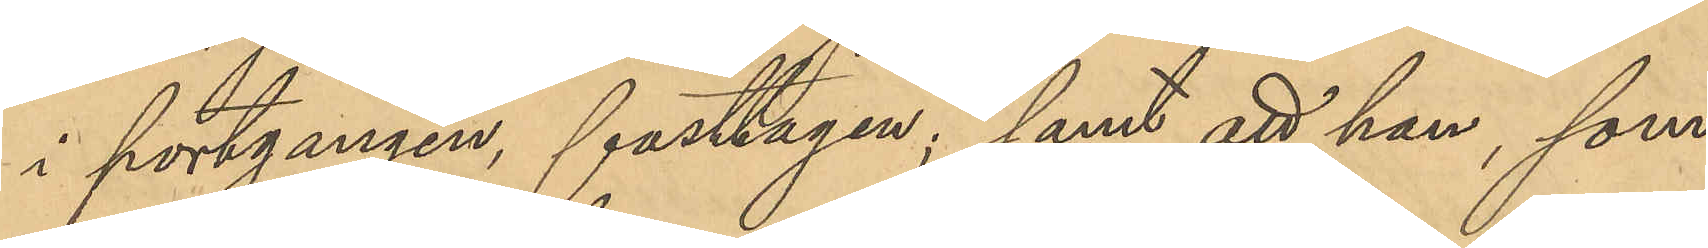i portgången, fasttagen; samt att han, som
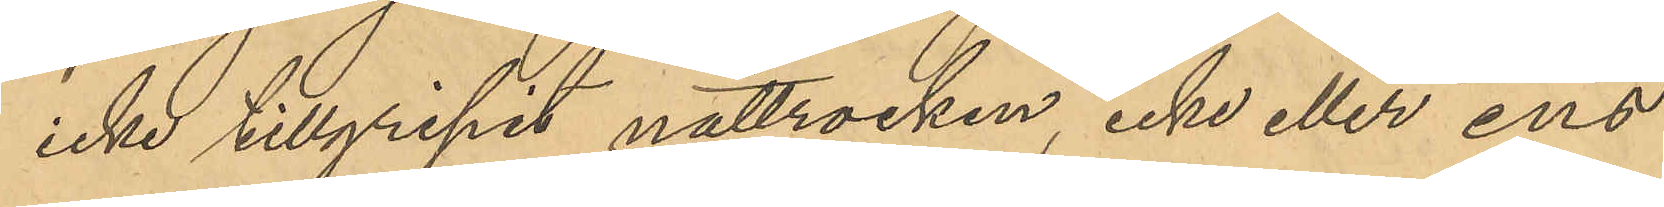icke tillgripit nattrocken, icke eller ens
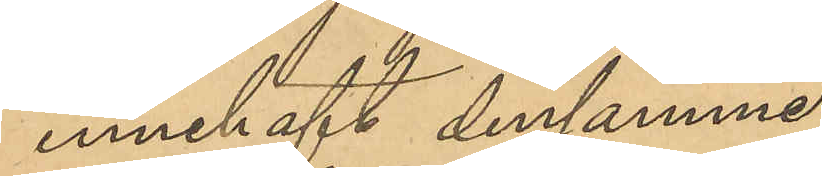innehaft densamme.
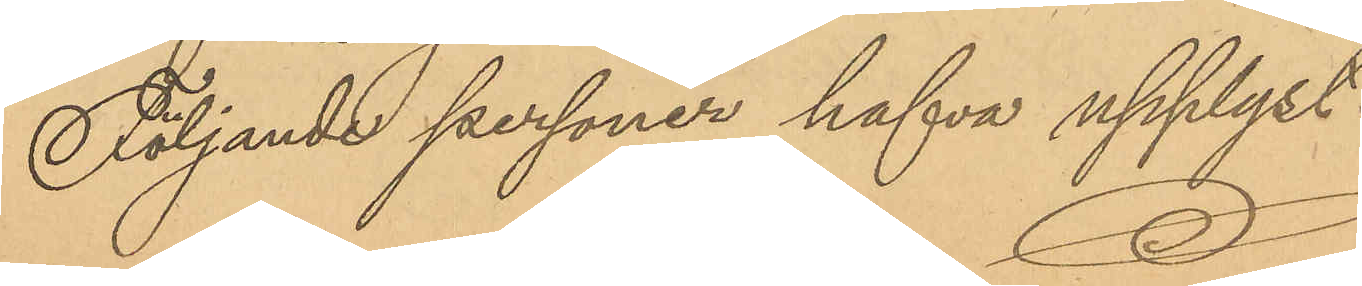Följande personer hafva upplyst:
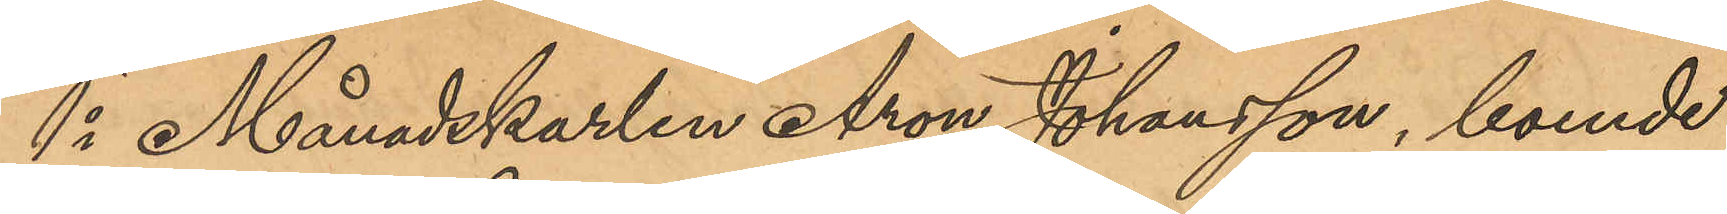1o Månadskarlen Aron Johansson, boende
